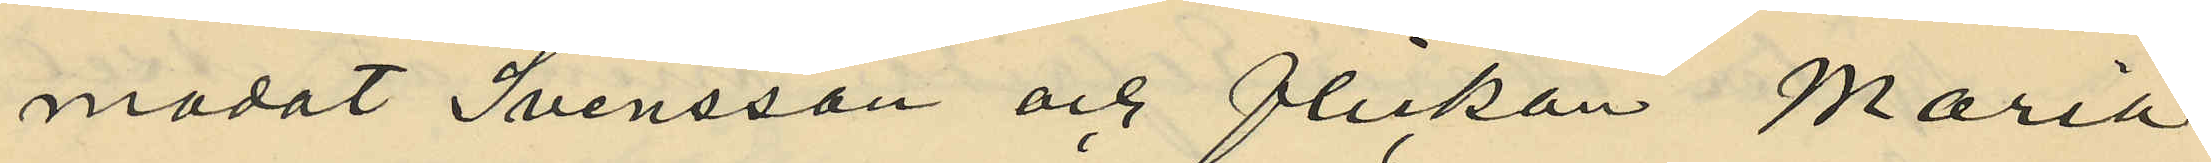modat Svensson och flickan Maria
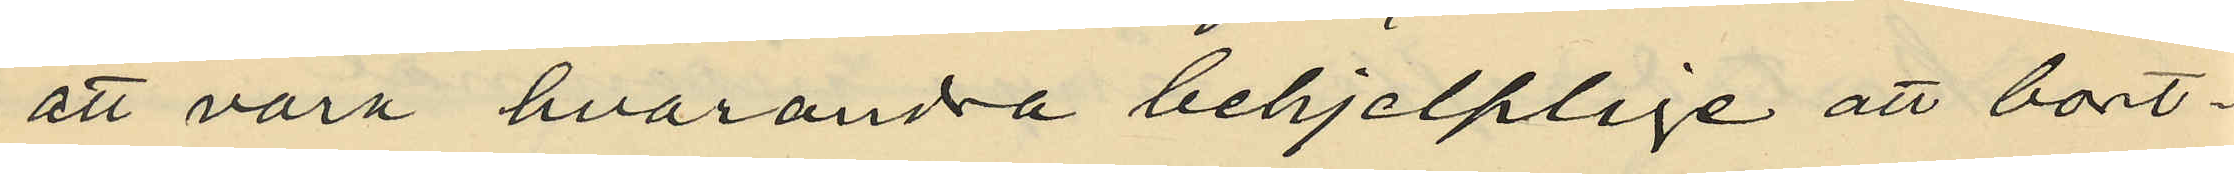att vara hvarandra behjelplige att bort¬
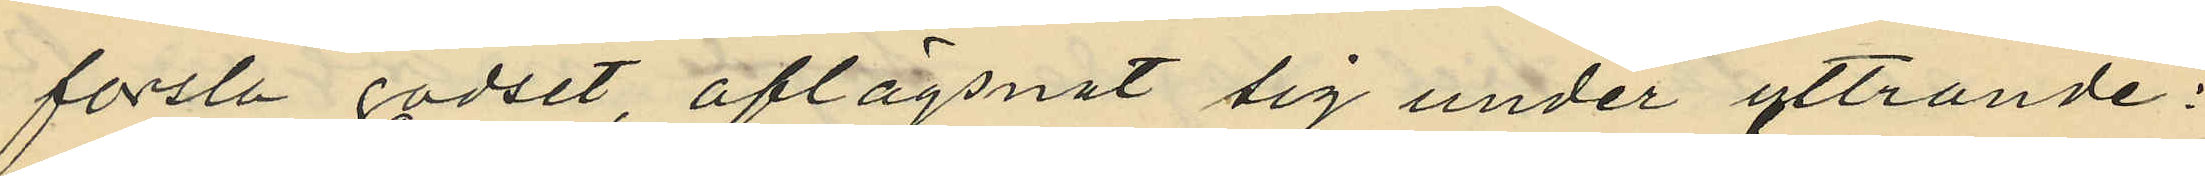forsla godset, aflägsnat sig under yttrande:
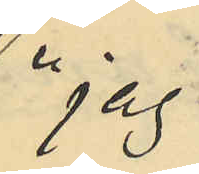"jag
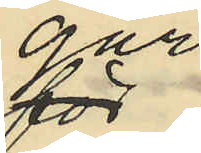går
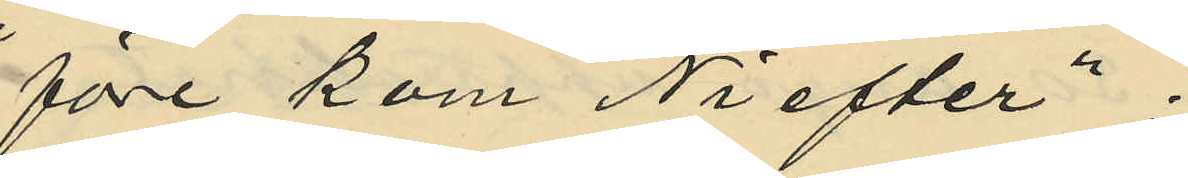före kom Ni efter."
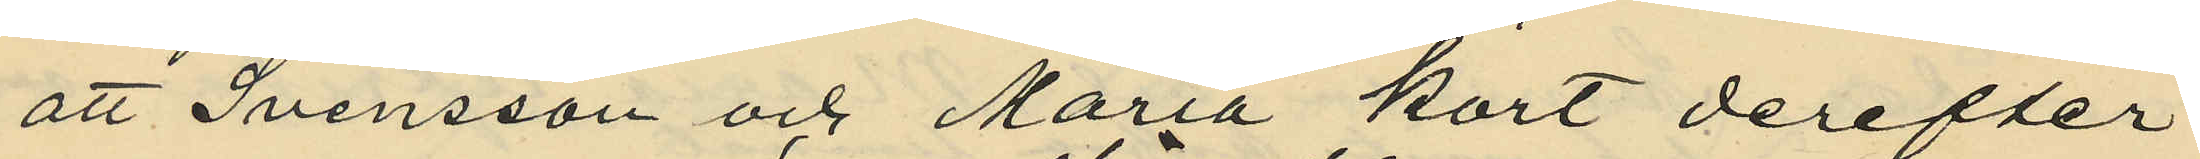att Svensson och Maria kort derefter
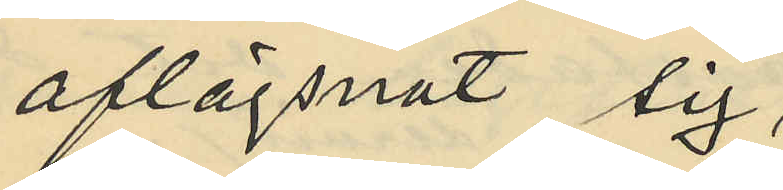aflägsnat sig,
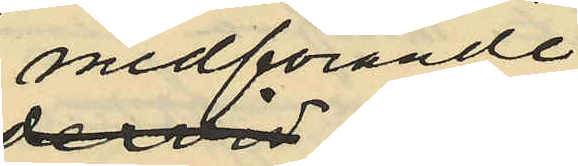medförande
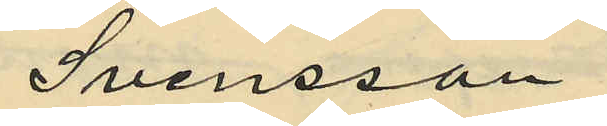Svensson
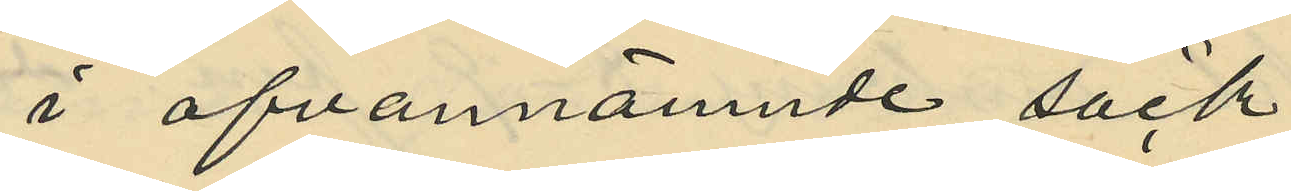i ofvannämnde säck
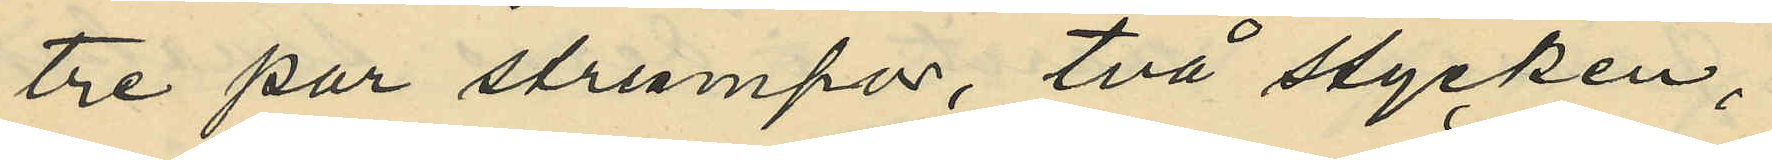tre par strumpor, två stycken,
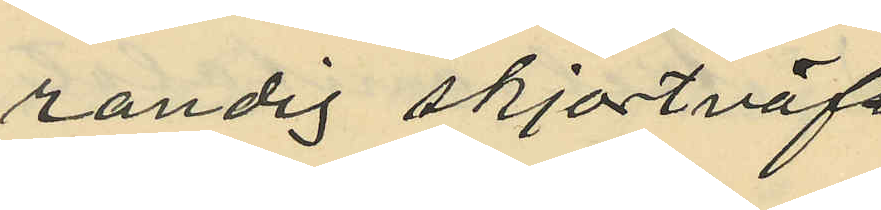randig skjortväf
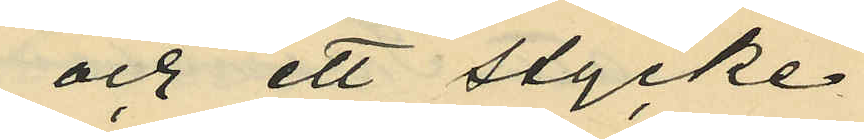och ett stycke
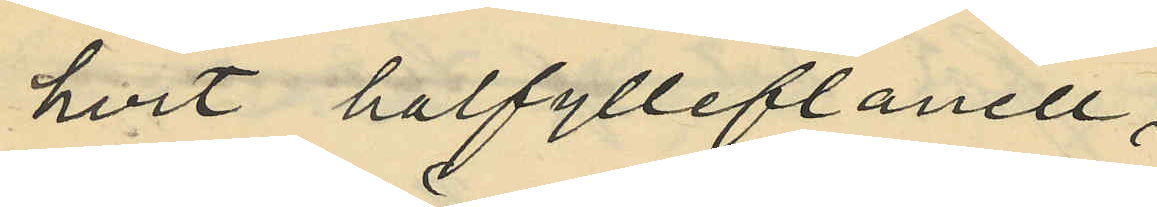hvit halfylleflanell,
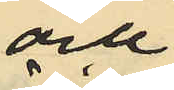och
